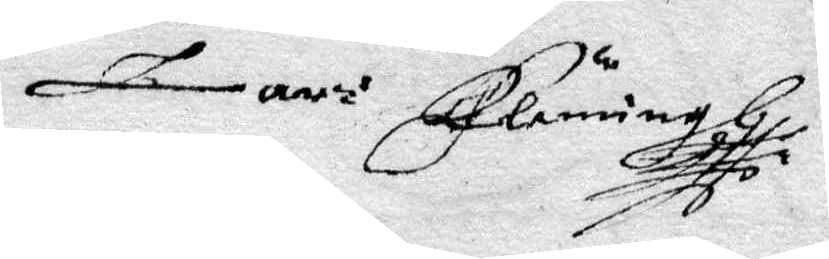Lars Flemming
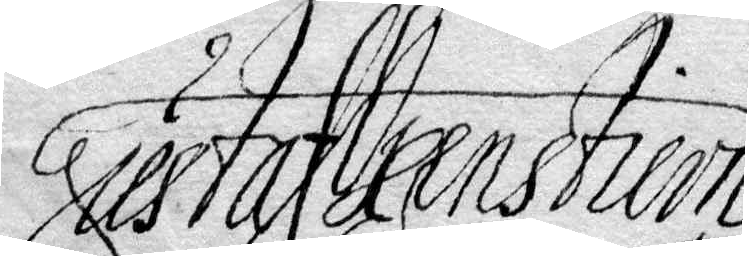Gustaf Oxenstiern
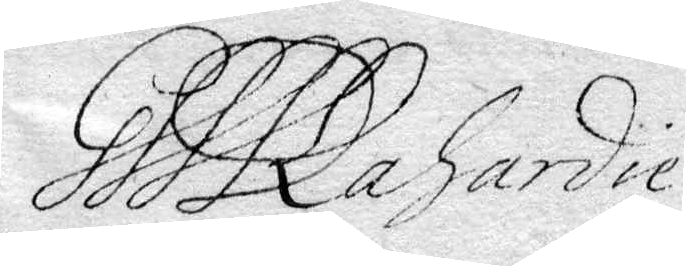Gssk La gardie
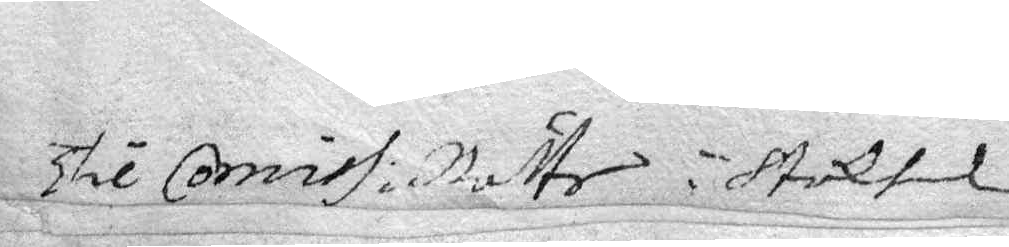Thil Comiss. Rätten i Stockholm
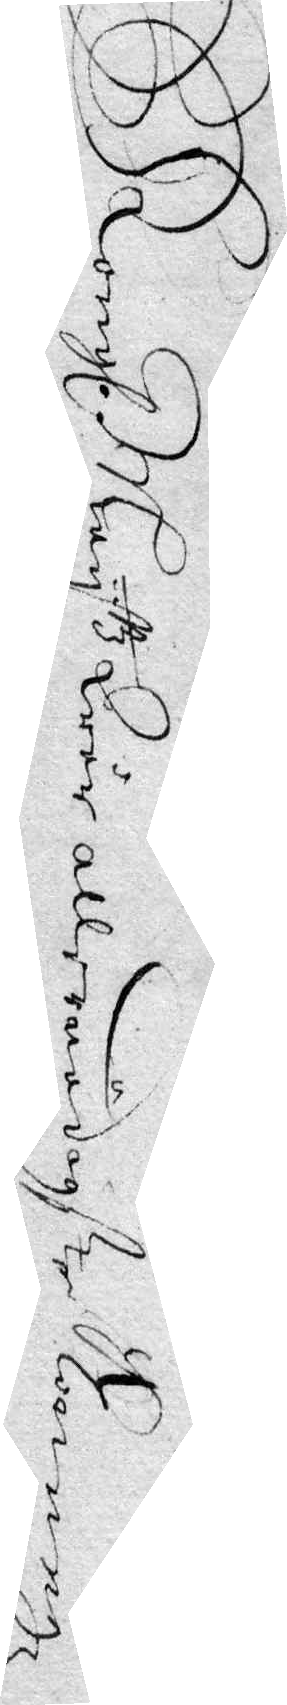Kongl. May.ttz Wår allernådigste Konungz
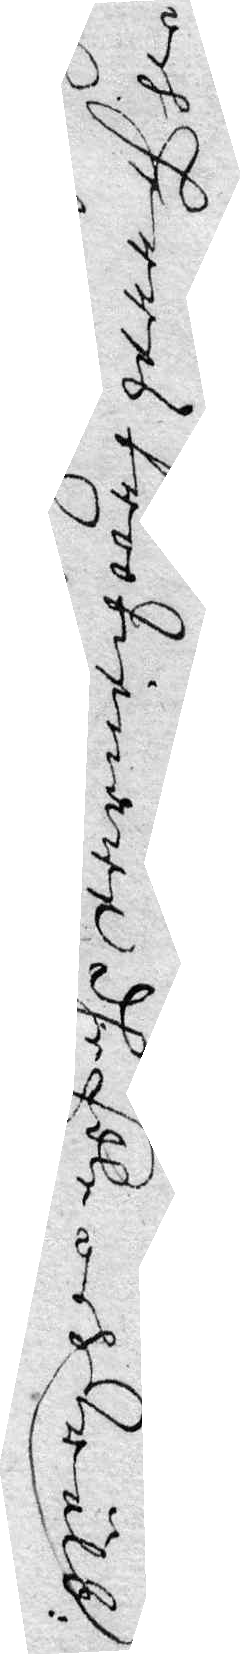och Herres trootienare dhe Edle och Wälb:
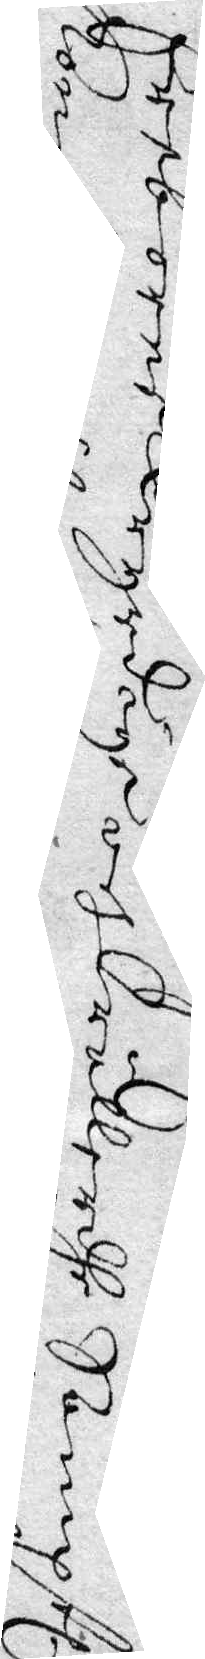Eerborne Wyrdige och Wällerdhe Samptl.
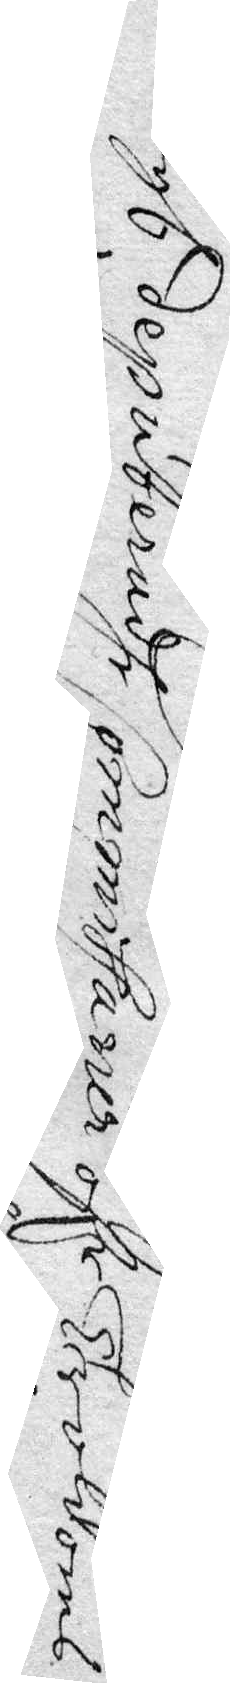Kongl deputeradhe Commissarier öfr Troldoms¬
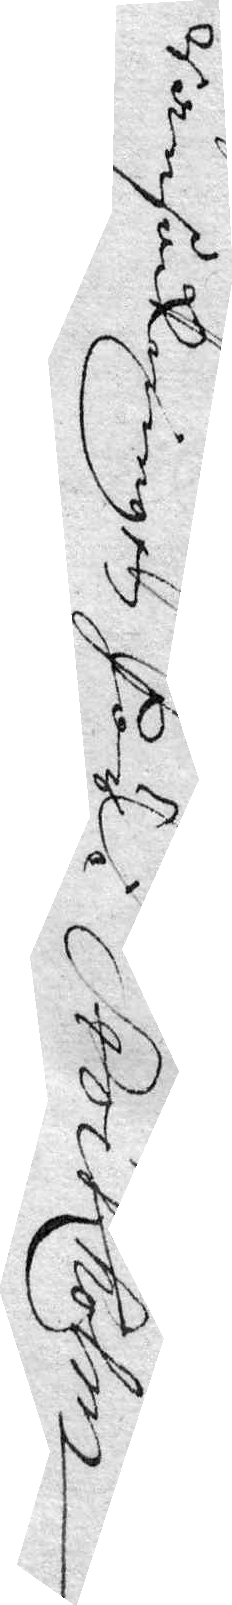ransakningen Här i Stockholm
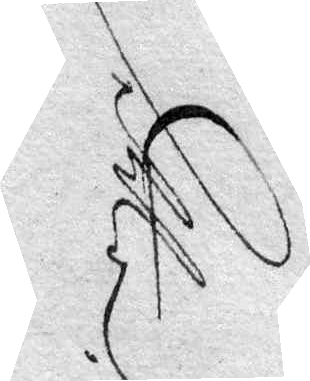detta
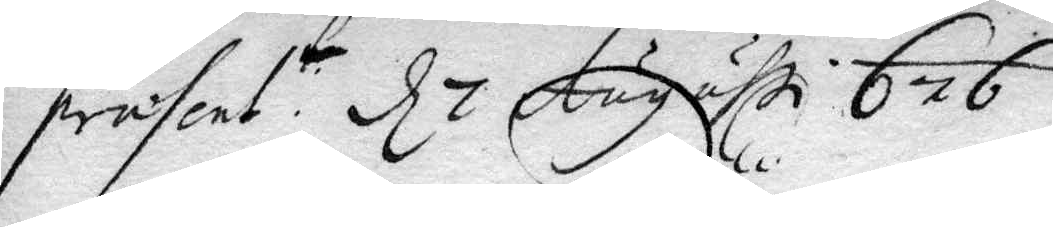prenset: t d 7 Augusti 676
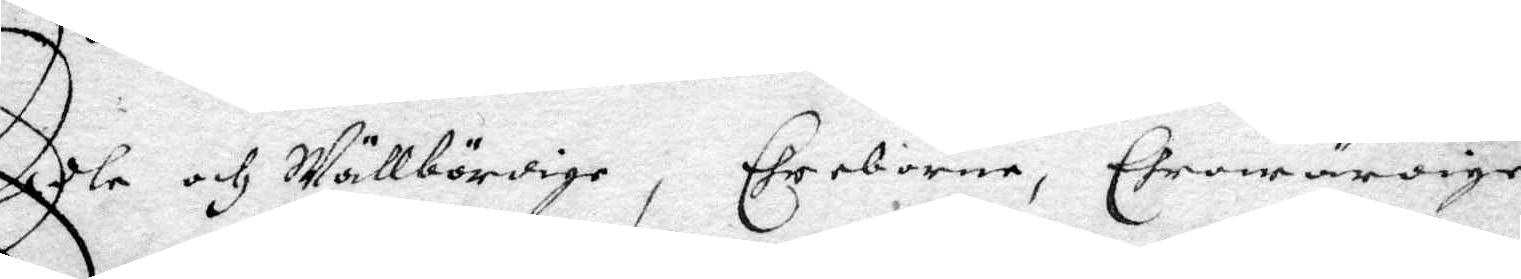Edle och Wällbördige, Ehreborna, Ehrewärdige
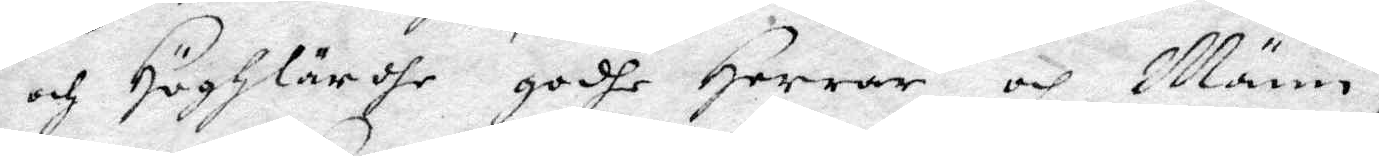och Höghlärdhe godhe Herrar och Männ,
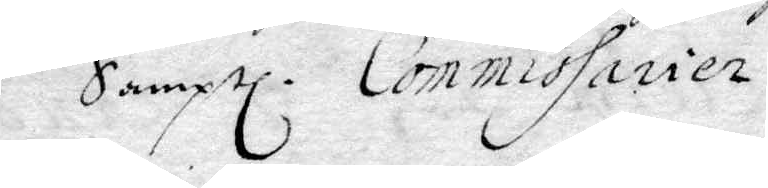Samptl. Commissarier.
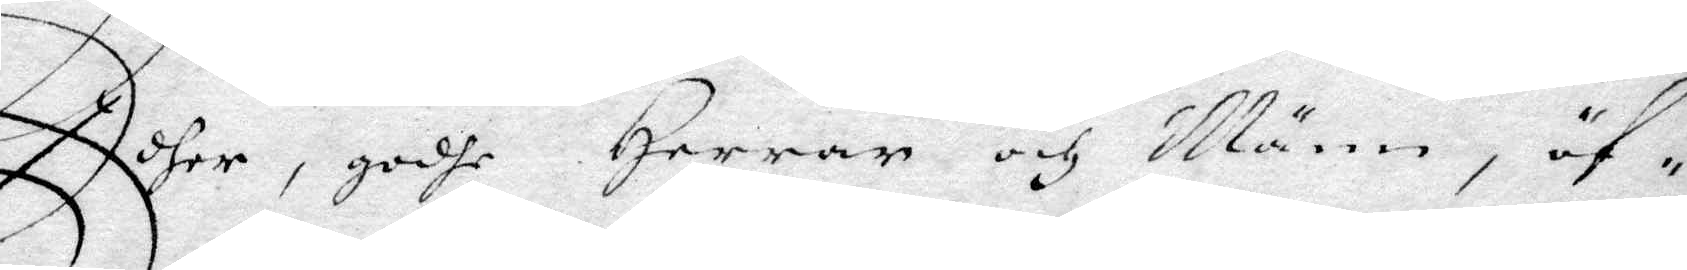Edher, godhe Herrar och Männ, öf¬
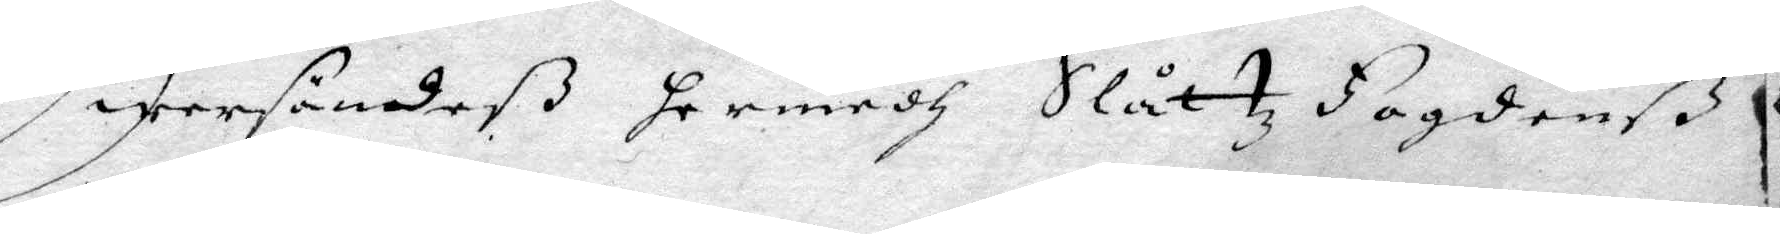wersändeß hermedh Slåttz Fogdenß
